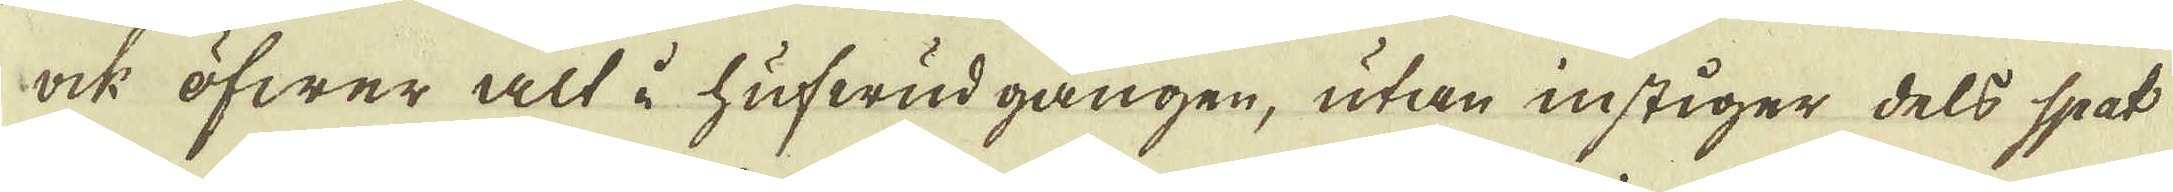ock öfwer alt i hufwud gången, utan instiger dels spat
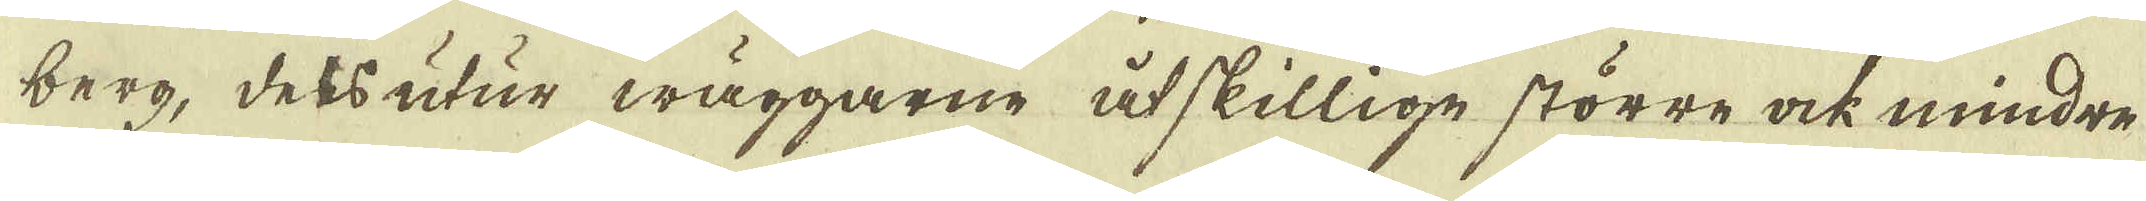berg, dess utur wäggarne åtskillige större ock mindre
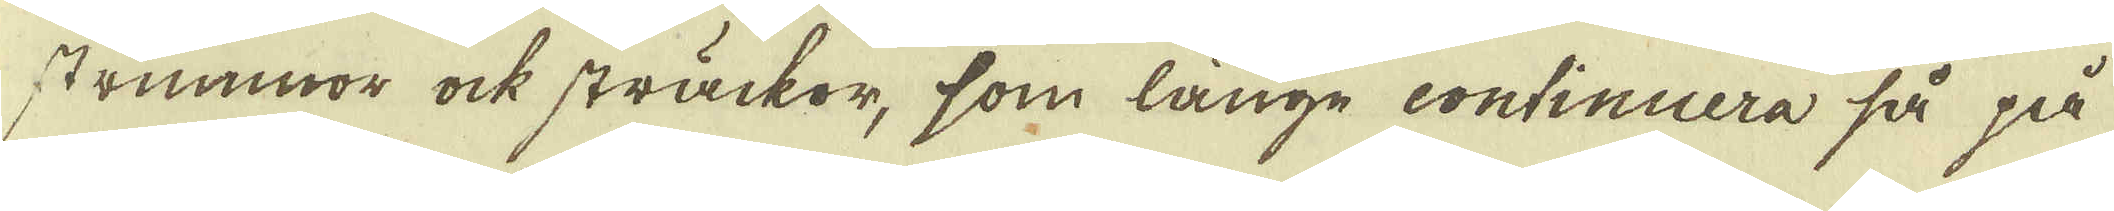strimmmor ock sträckor, som länge continuera så på
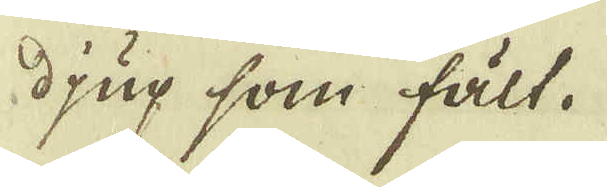djup som fält.
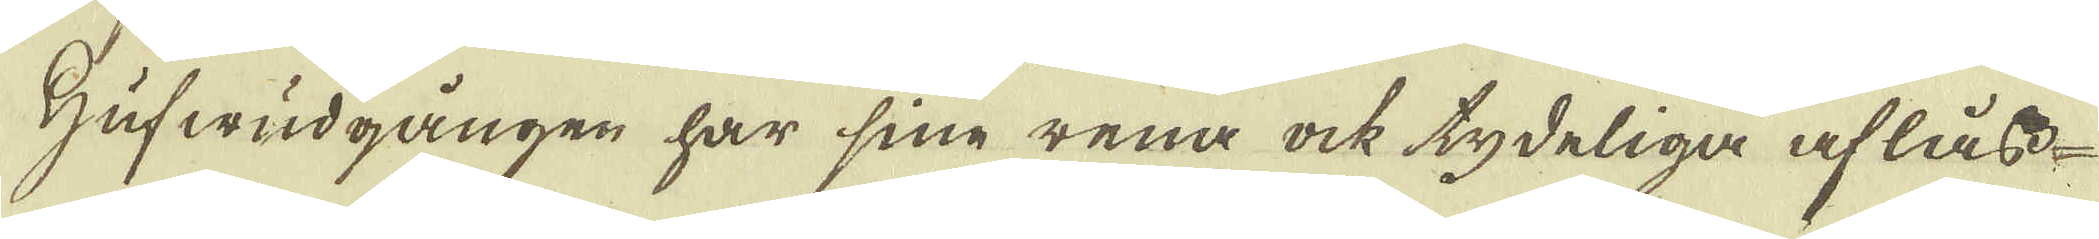Hufwudgången har sine rena ock tydeliga aflåss-
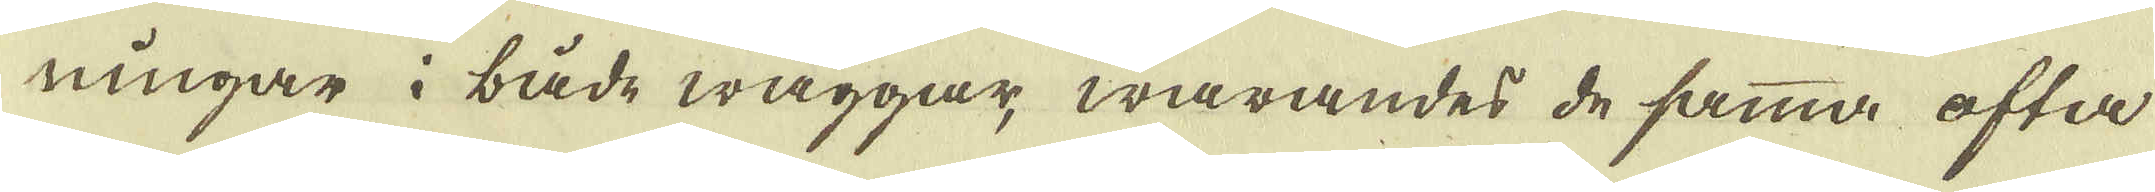ningar i både wäggar, warandes de samma ofta
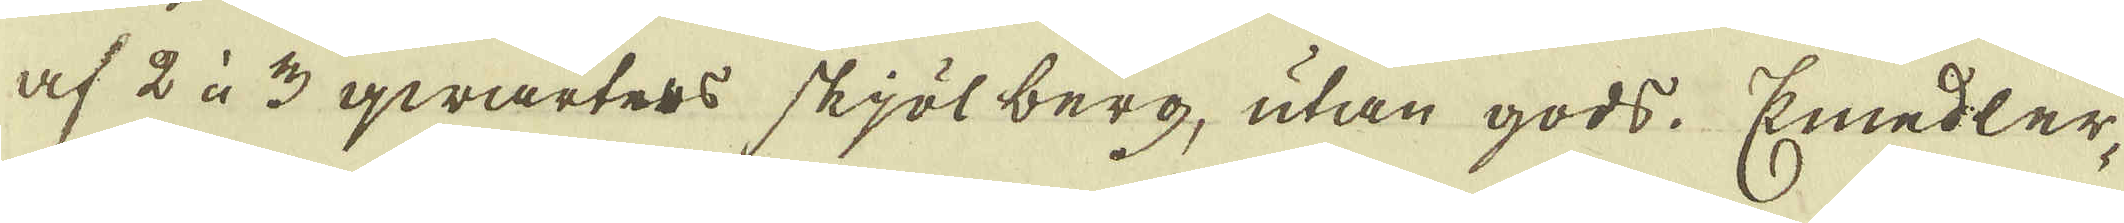af 2 à 3 qwarters skjölberg, utan gods. Emedler-
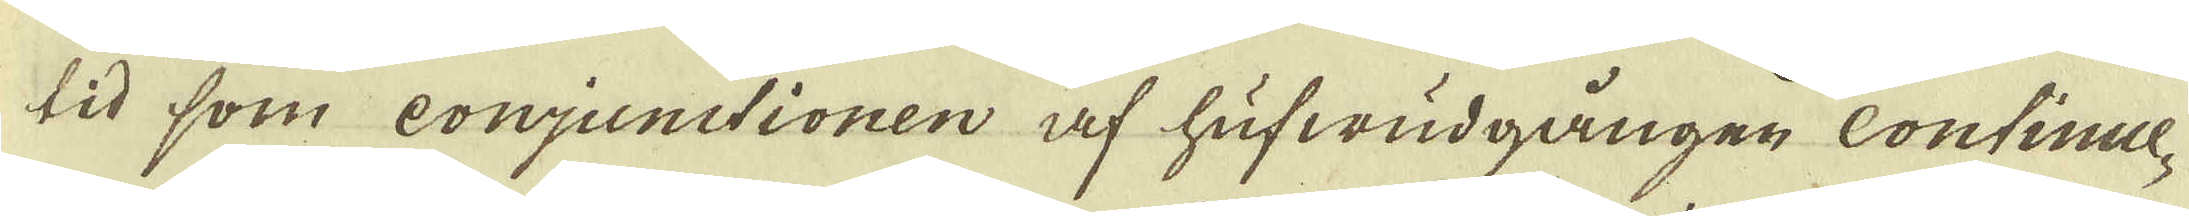tid som conjunctionen af hufwudgången Continue-
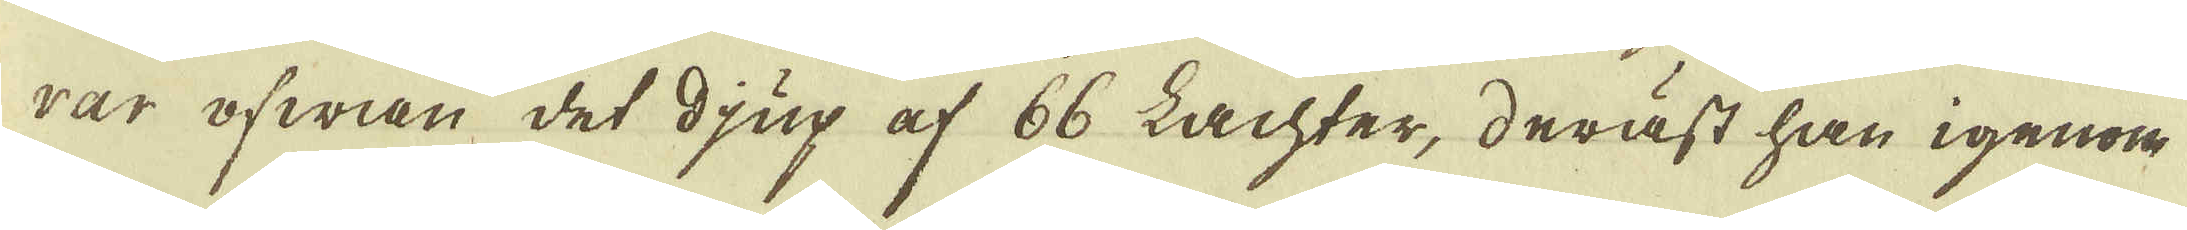rar ofwan det djup af 66 Lachter, deräst han igenom
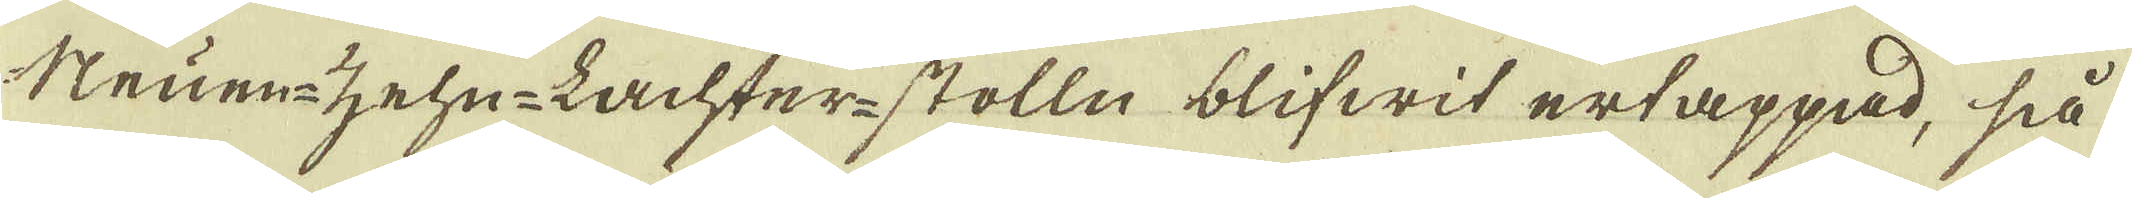struem-zehn-Lachter-stolln blifwit ertappad, så
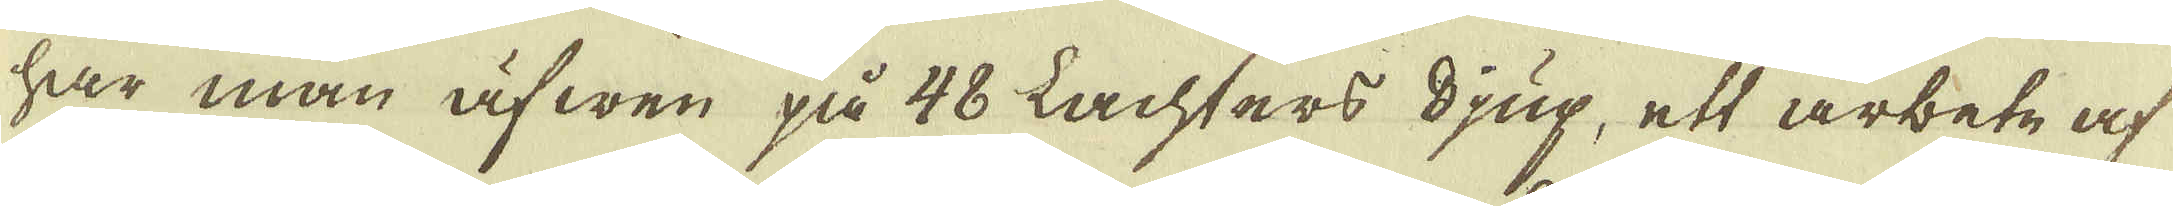har man äfwen på 48 Lachtars djup, ett arbete af
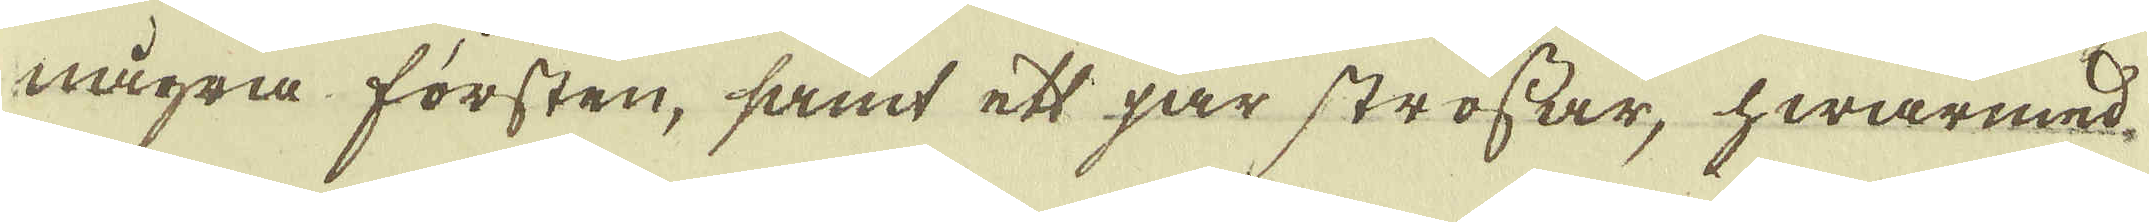några försten, samt ett par strossar, hwarmed-
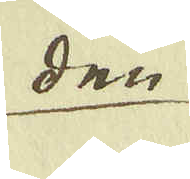den
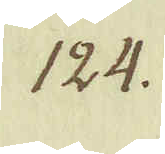124.
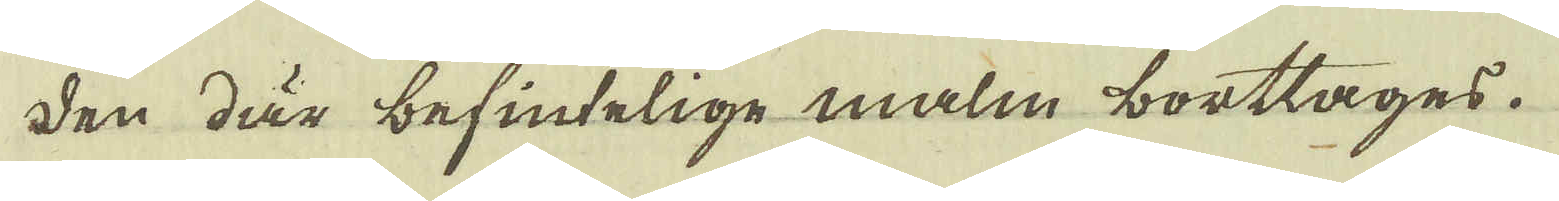den där befintelige malm borttages.
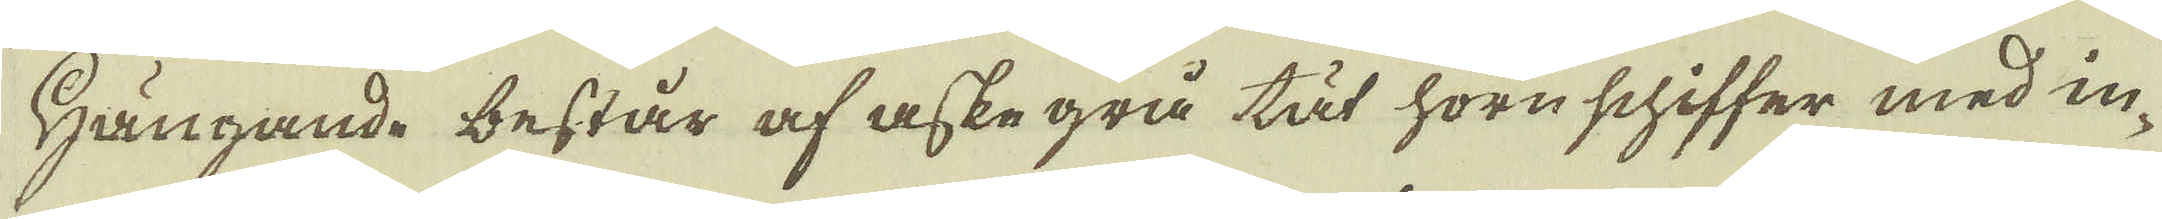Hängande består af aske grå tät horn schiffer med in-
